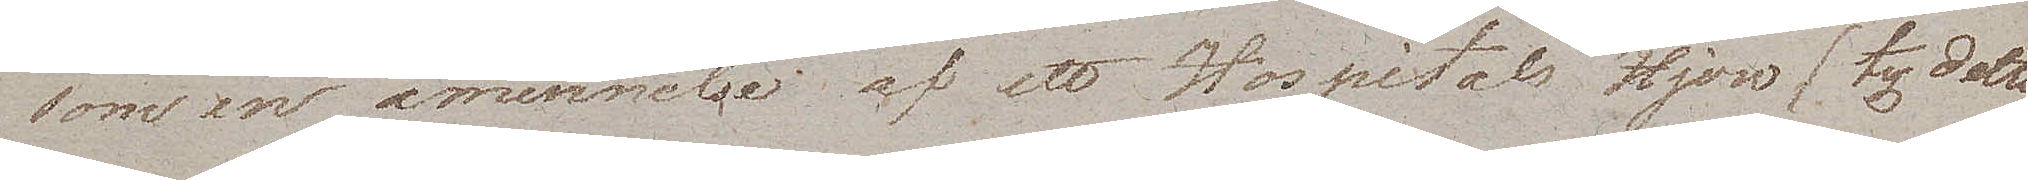som en åminnelse af ett Hospitals Hjon (ty detta
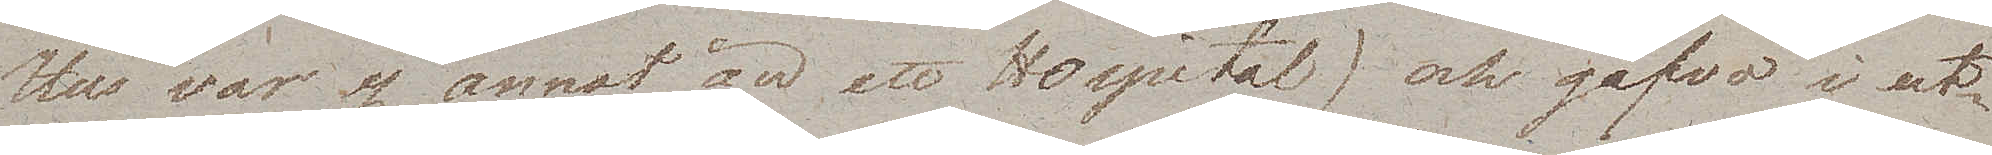Hus var ej annat än ett Hospital) och gåfvo i ut¬
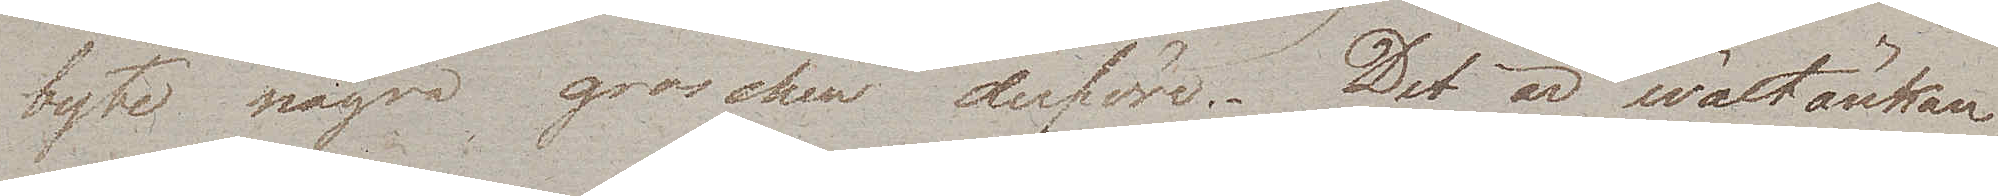byte några groschen derföre. Det är wältänkan¬
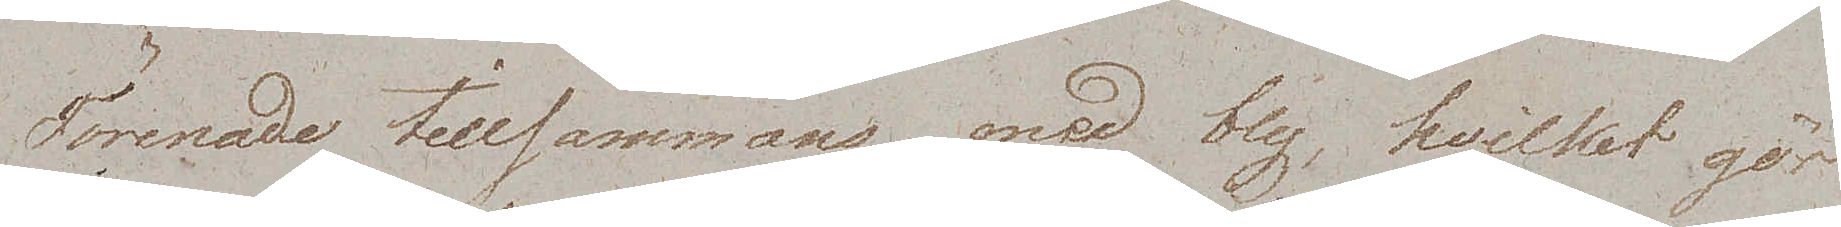förenade tillsammans med bly, hvilket gör
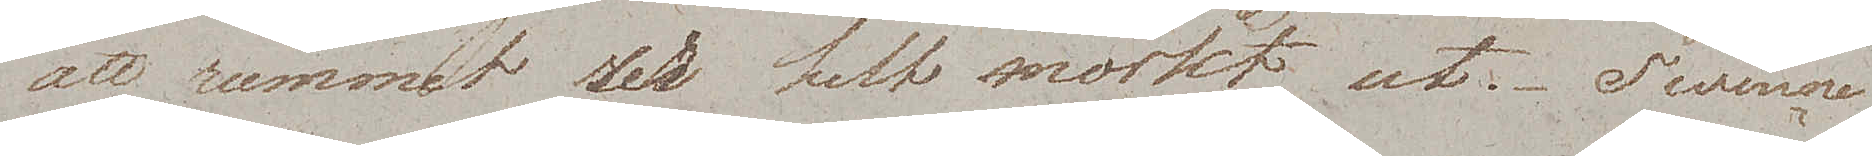att rummet ser helt mörkt ut. Twenne
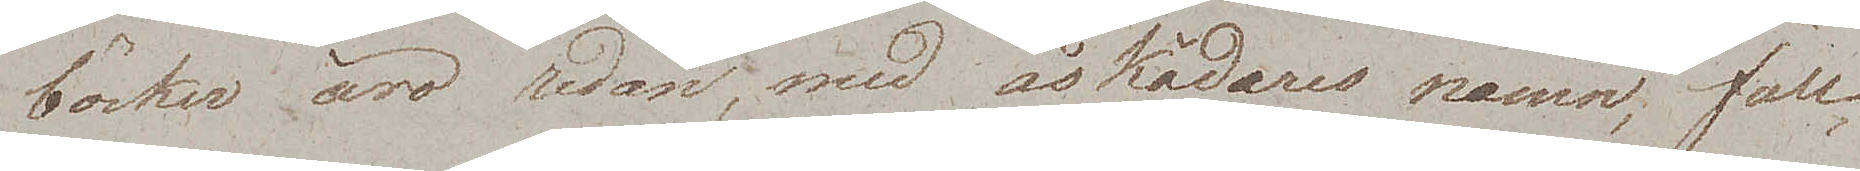böcker äro redan, med åskådares namn, full¬
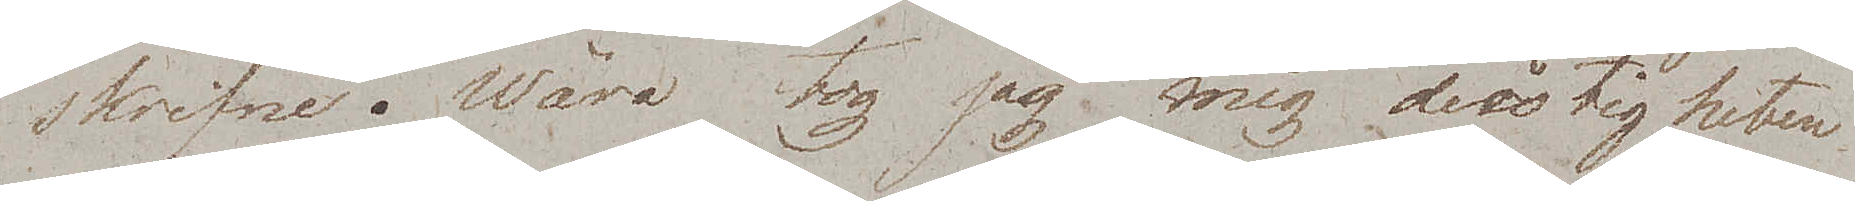skrifne. Wåra tog jag mig dristigheten
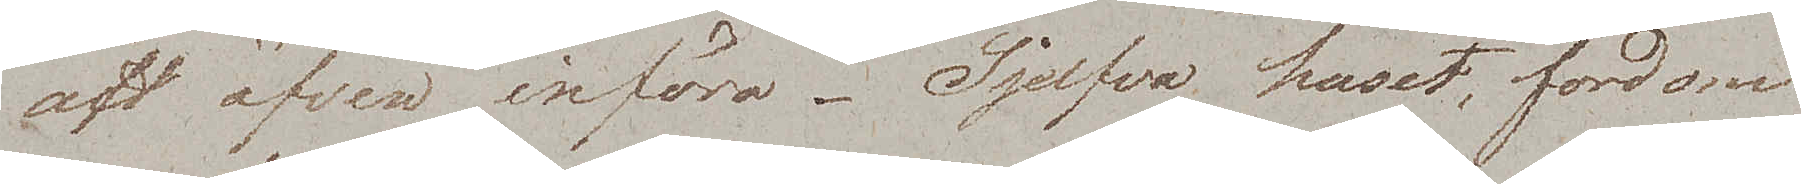aft äfven införa. Sjelfva huset, fordom
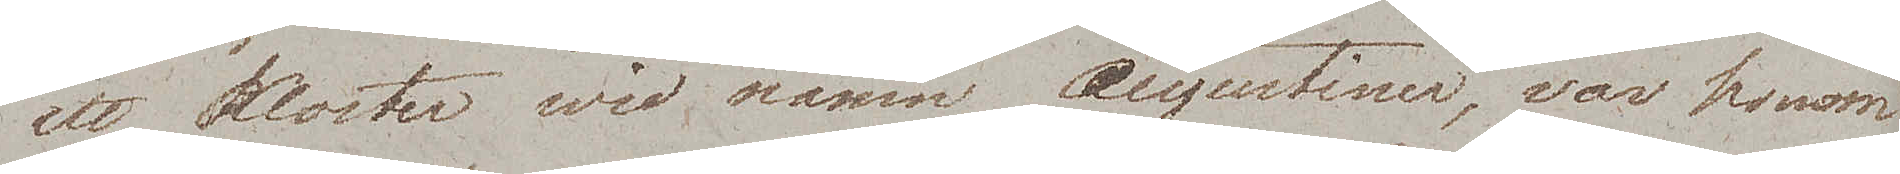ett kloster wid namn Augustiner, var honom
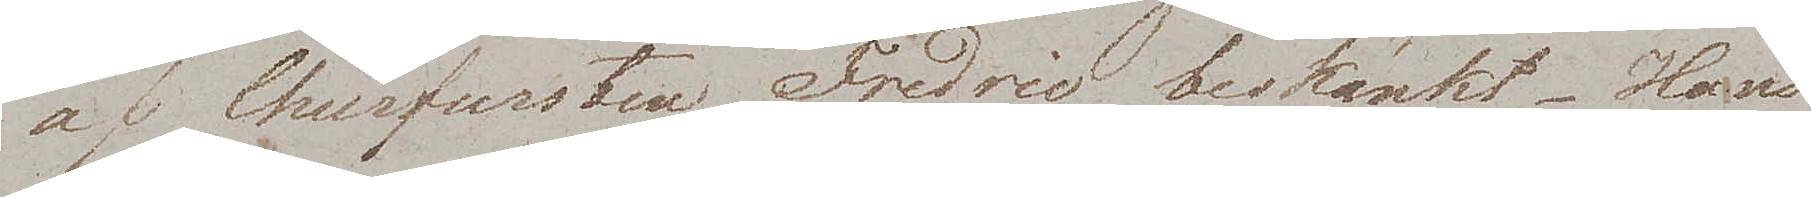af Churfursten Fredric beskänkt. Hans
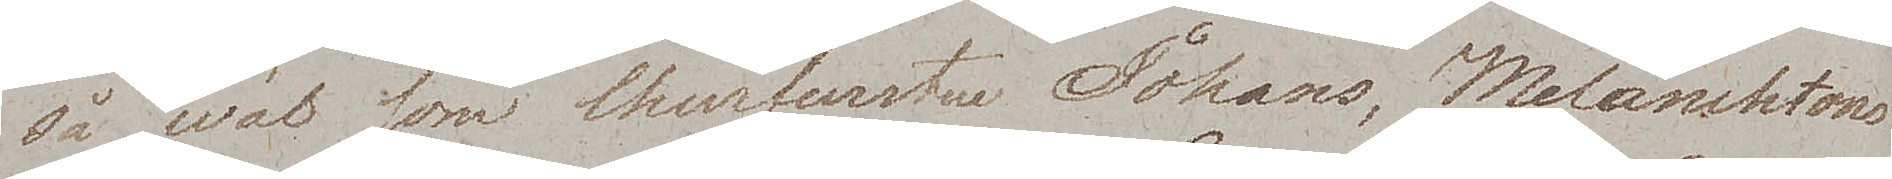så wäl som Churfursten Johans, Melanchtons
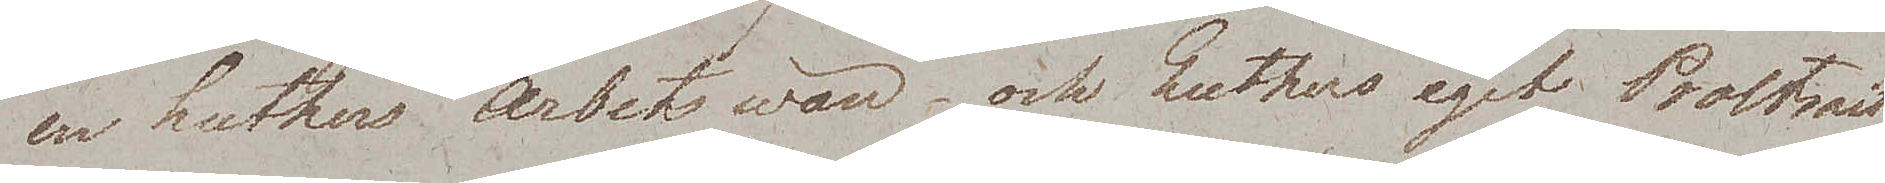en Luthers arbetswän och Luthers eget Portrait
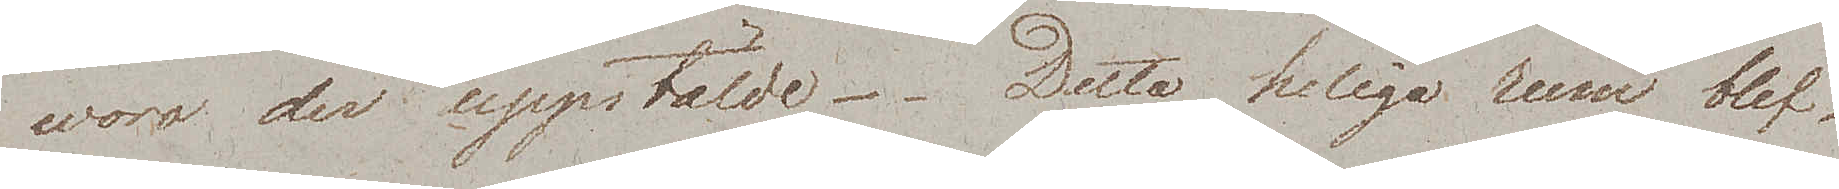woro der uppstälde. Detta heliga rum blef
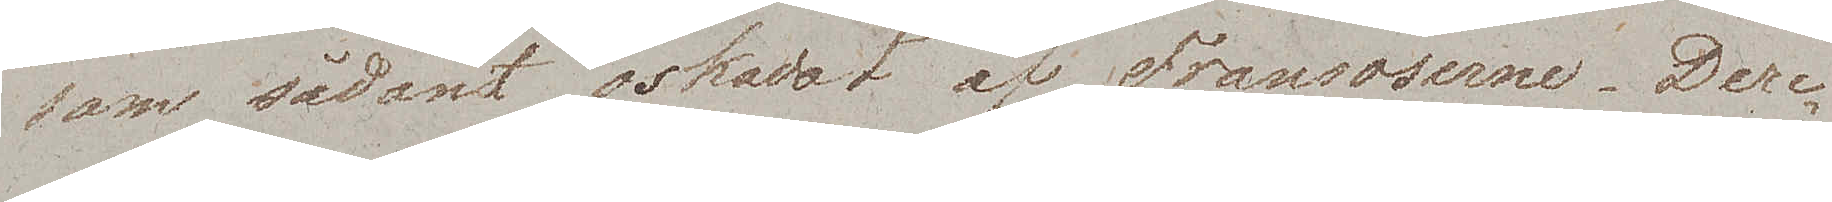som sådant oskadat af Fransoserne. Dere¬
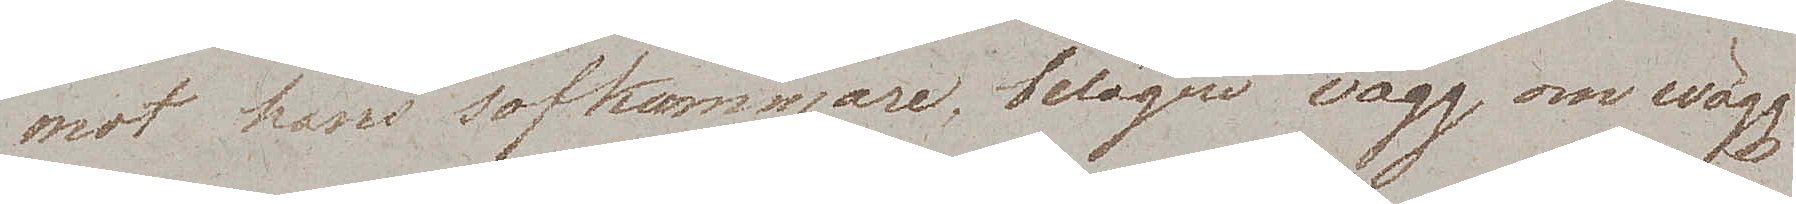mot hans sofkammare, belägen wägg om wägg
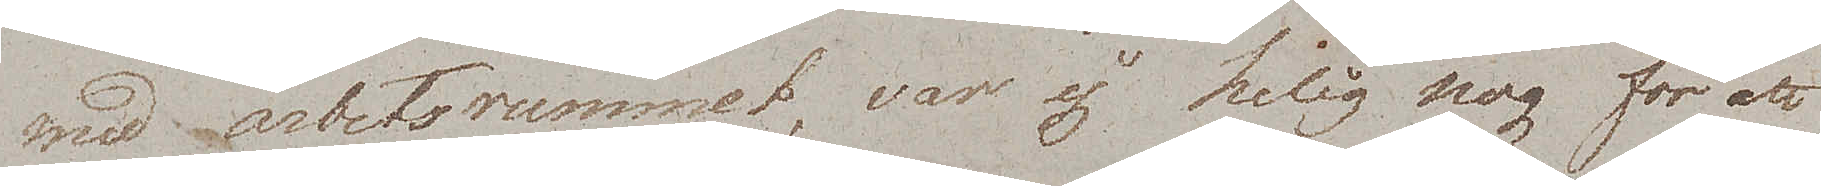med arbetsrummet, var ej helig nog för att
